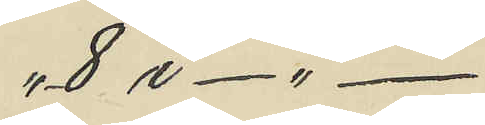" 8 i - " -
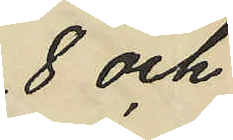8 och
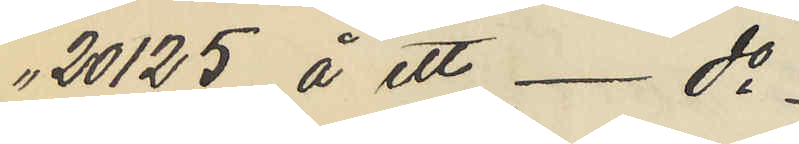" 20125 å ett - do 
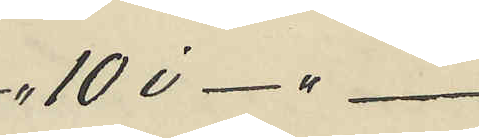" 10 i - " -
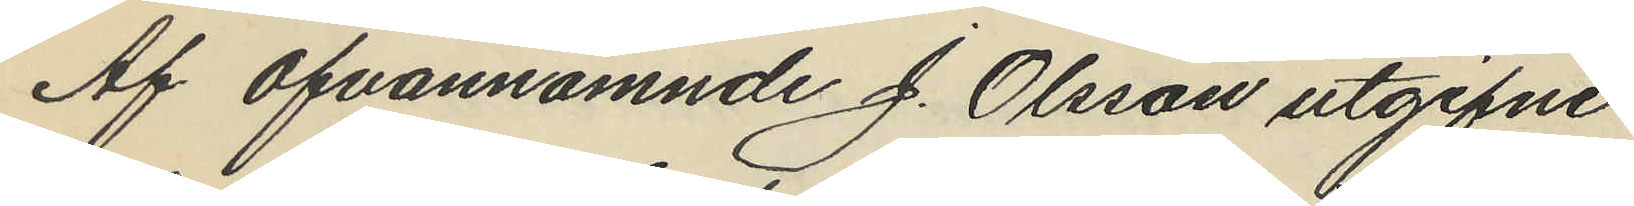Af ofvannämnde J. Olsson utgifne
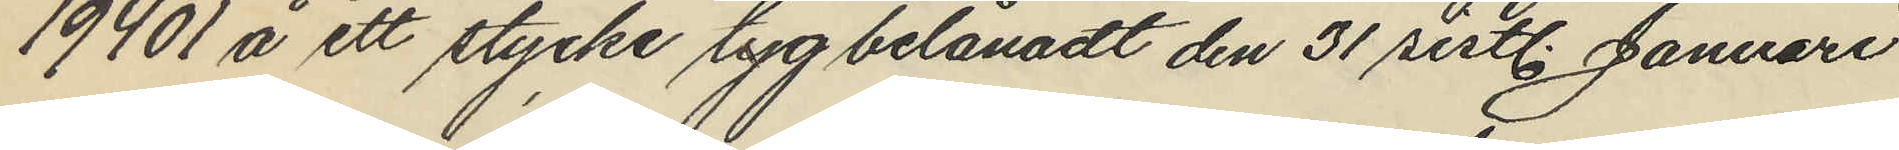19401 å ett stycke tyg belånadt den 31 sistl. Januari
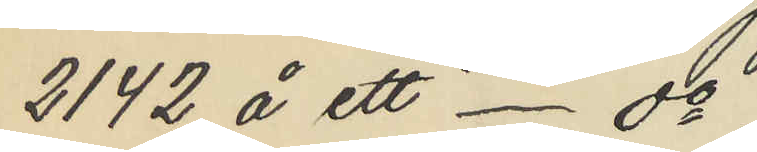2142 å ett - do
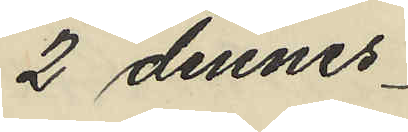2 dennes
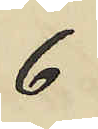6
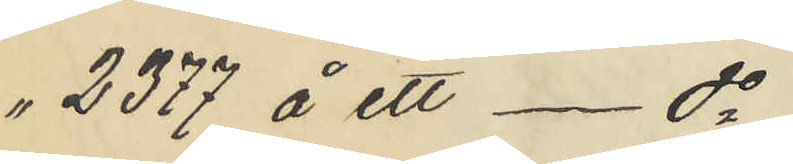 " 2377 å ett - do
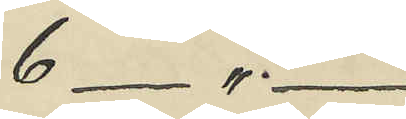6 - " -
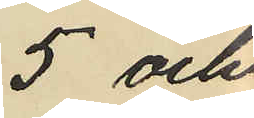5 och
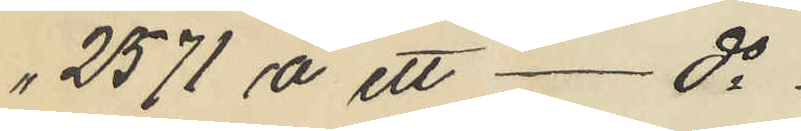" 21571 å ett - do
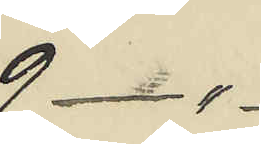9 - "
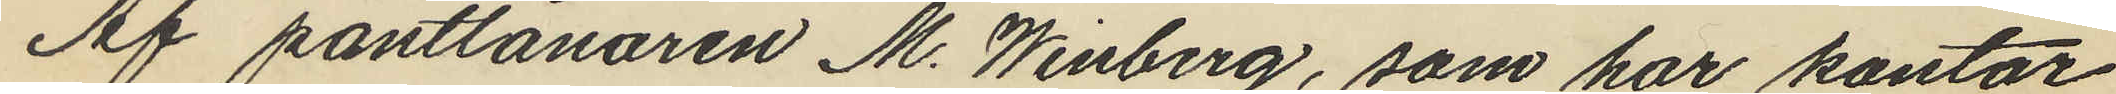Af pantlånaren M. Winberg, som har kontor
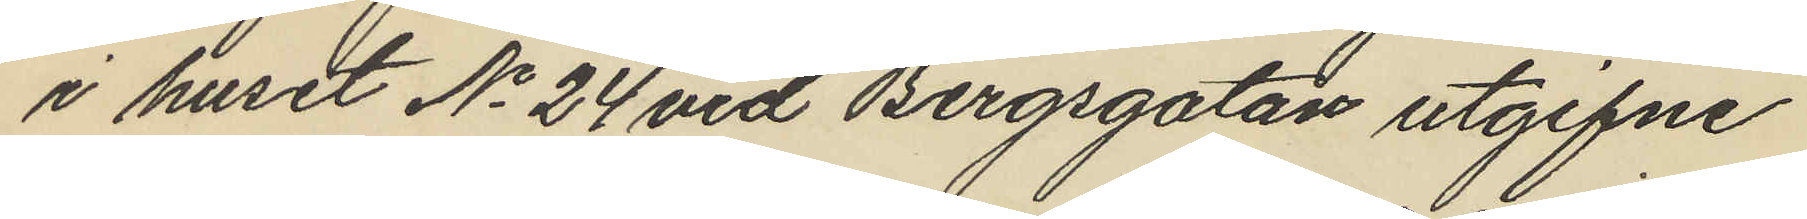i huset No 24 vid Bergsgatan utgifne
